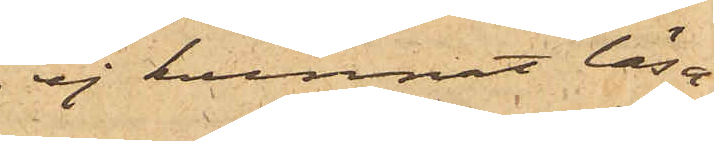ej kunnat läsa;
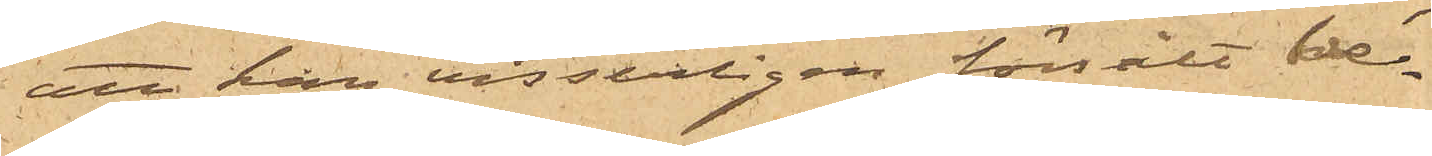att han visserligen försålt ve¬
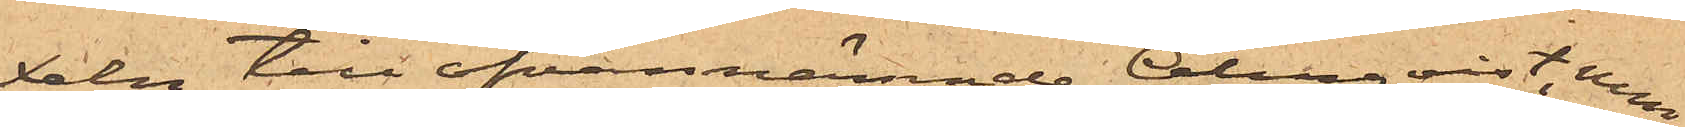deln till ofvannämnde Almquist, men
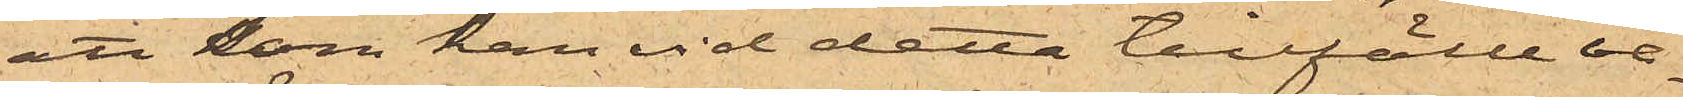att som han vid detta tillfälle va¬
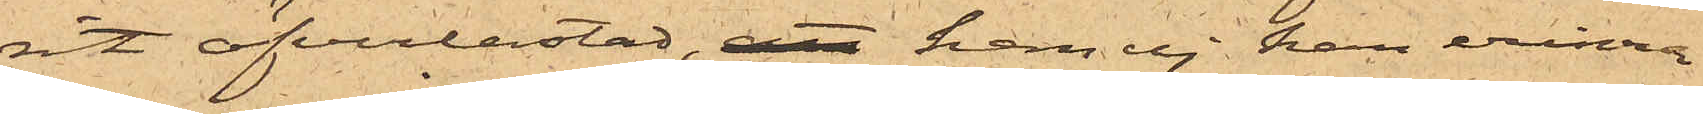rit öfverlastad, han ej kan erinra
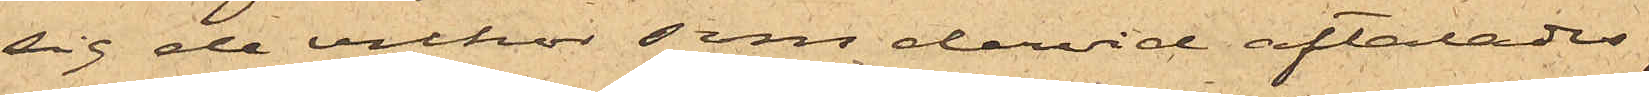sig de vilkor som dervid aftalades;
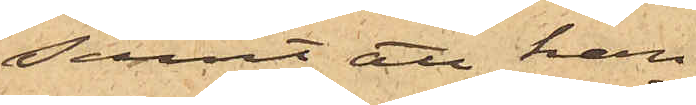samt att han
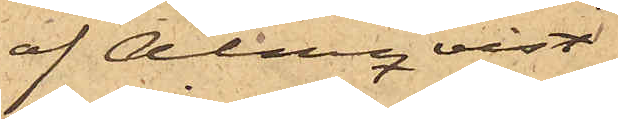af Almqvist
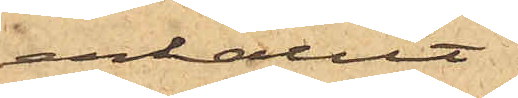erhållit
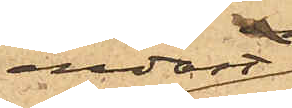endast
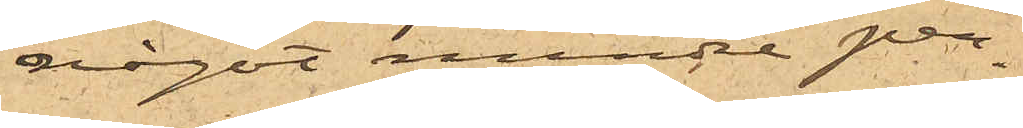något mindre pen¬
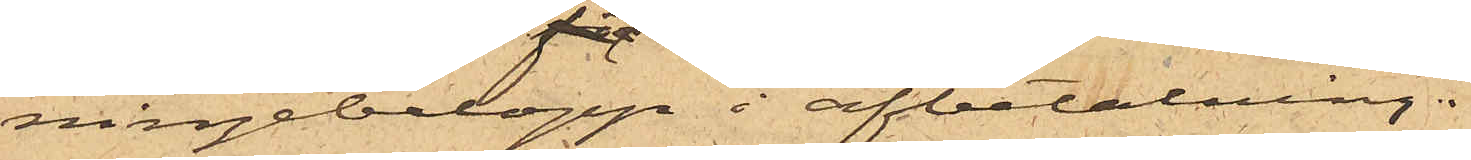ningebelopp i afbetalning.
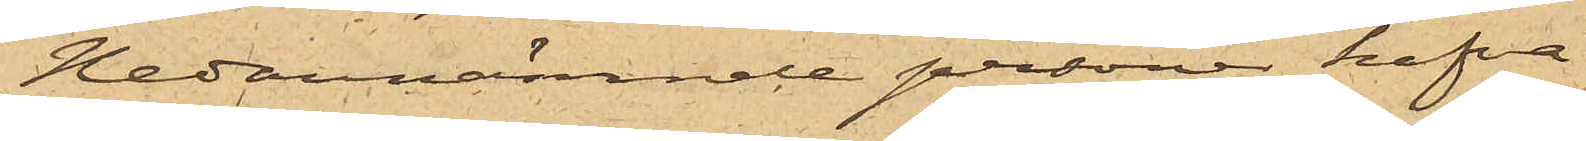Nedannämnde personer hafva
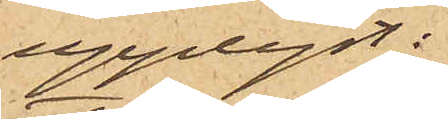upplyst:
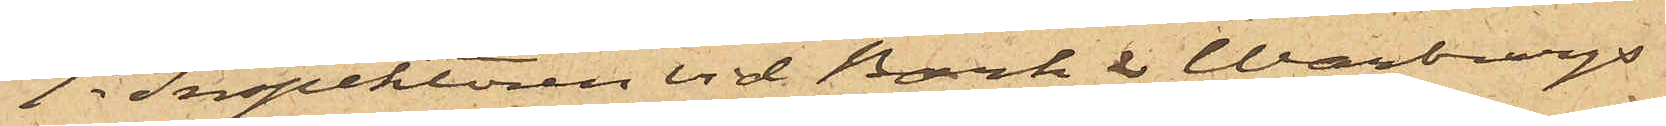1o Inspektoren vid Bark & Warburgs
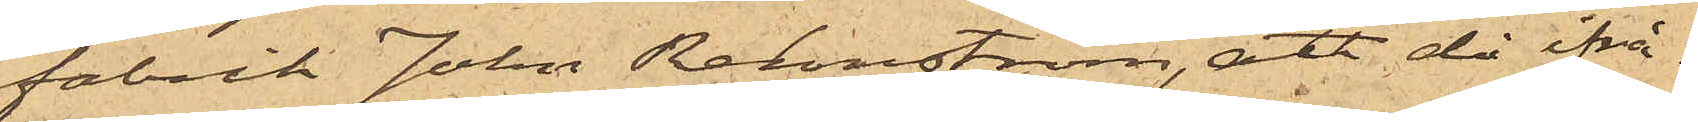fabrik John Rehnström, att då ifrå¬
